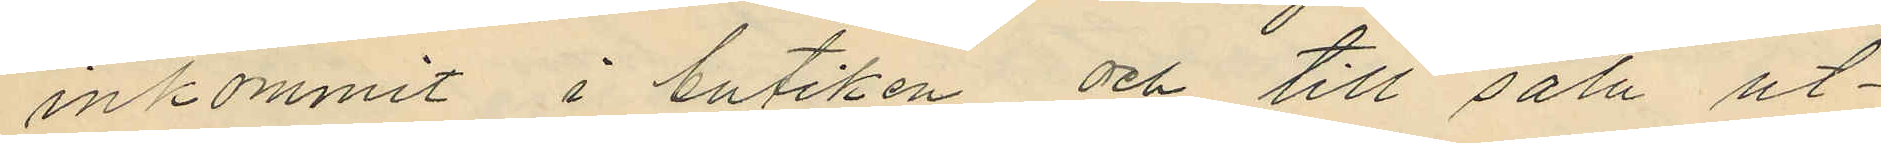inkommit i butiken och till salu ut¬
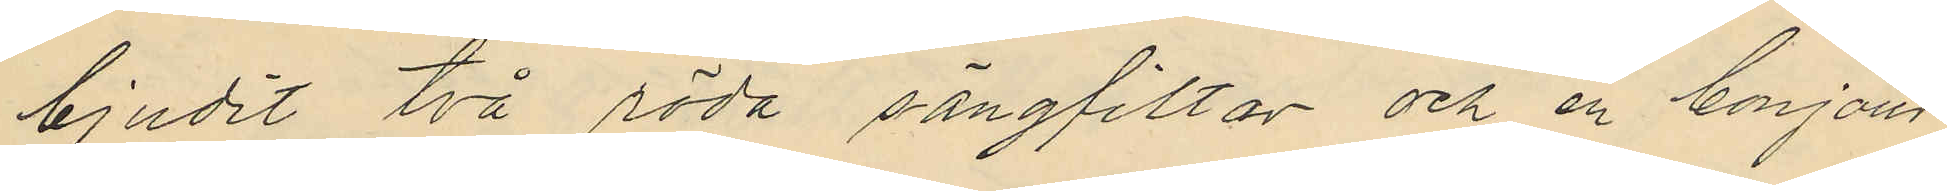bjudit två röda sängfiltar och en bonjour
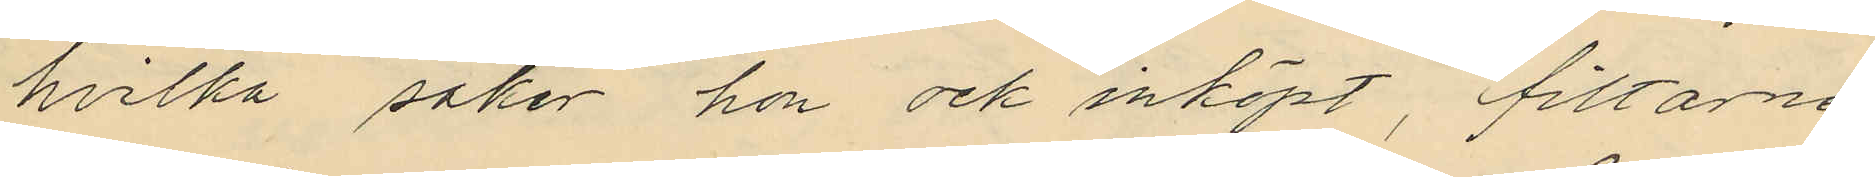hvilka saker hon ock inköpt, filtarne
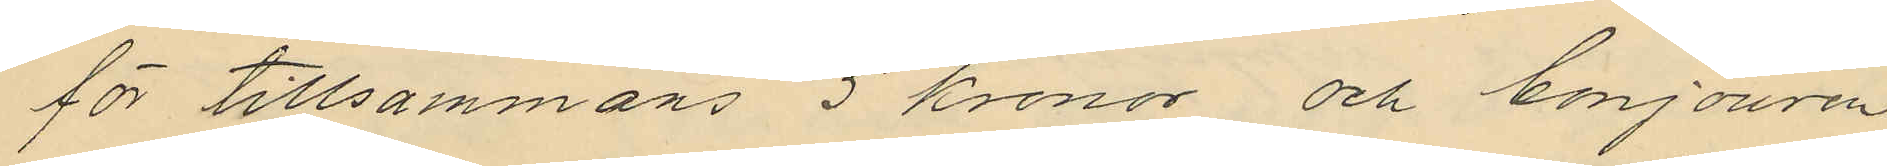för tillsammans 5 kronor och bonjouren
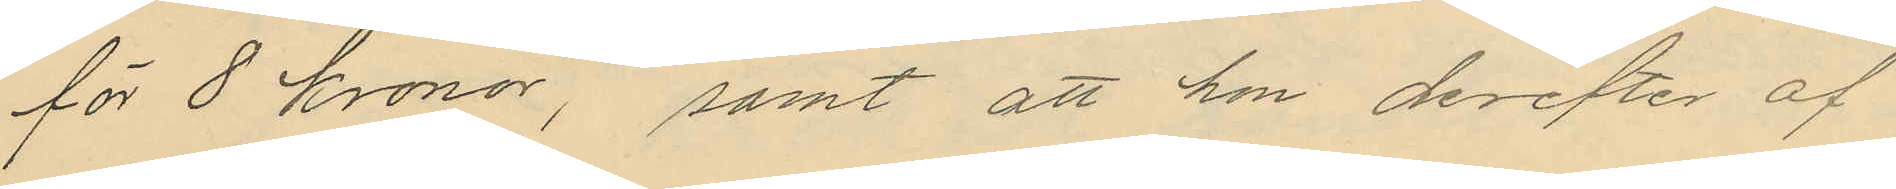för 8 kronor, samt att hon derefter af
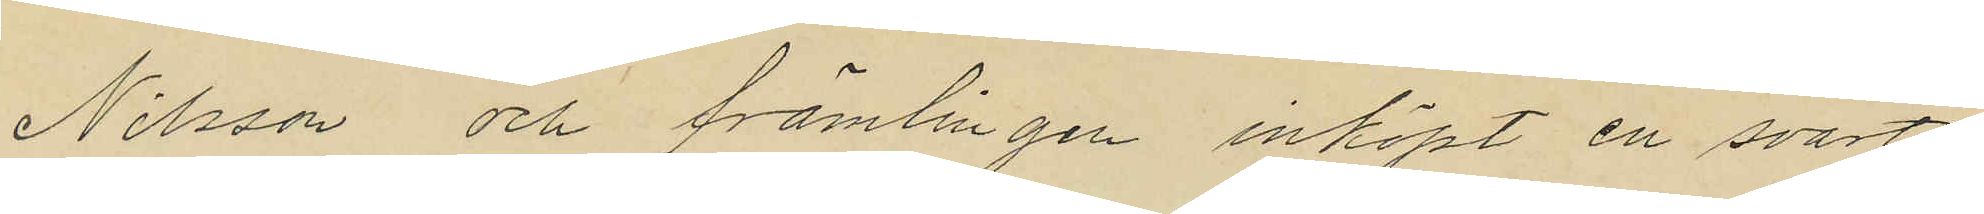Nilsson och främlingen inköpt en svart
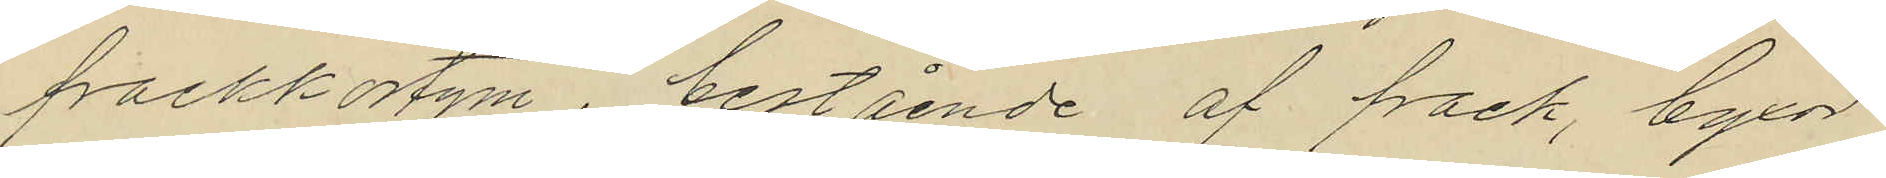frackkostym, bestående af frack, byxor
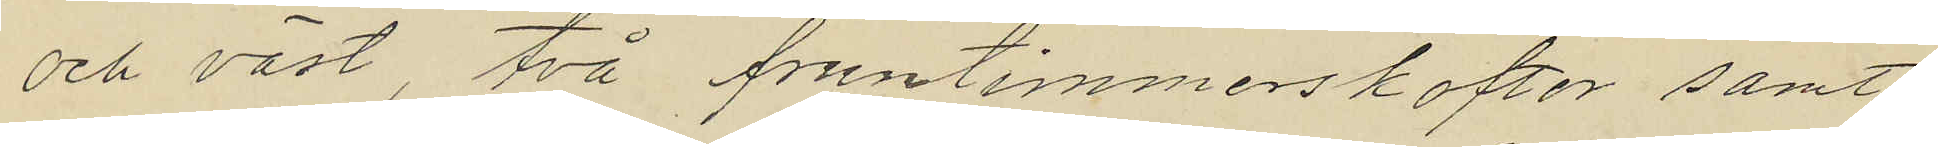och väst, två fruntimmerskoftor samt
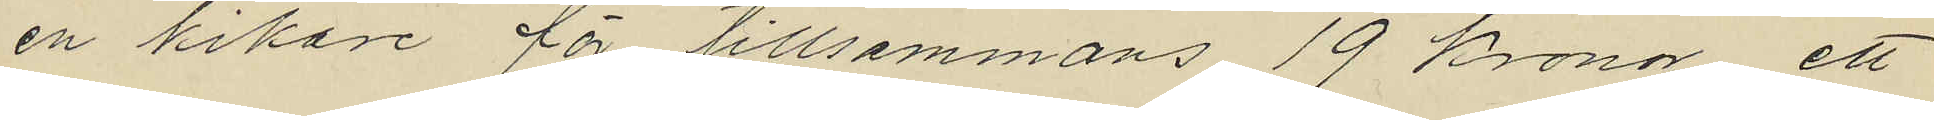en kikare för tillsammans 19 kronor, ett
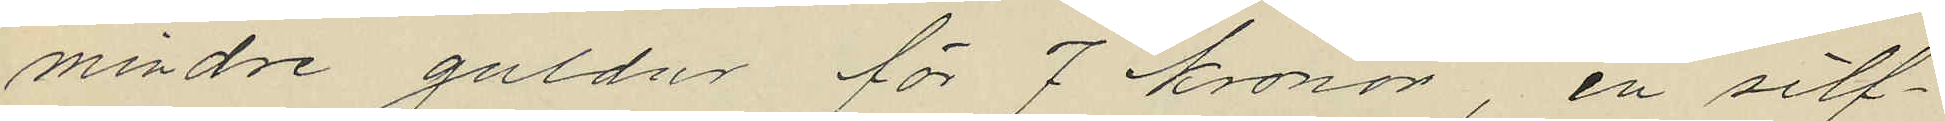mindre guldur för 7 kronor en silf¬
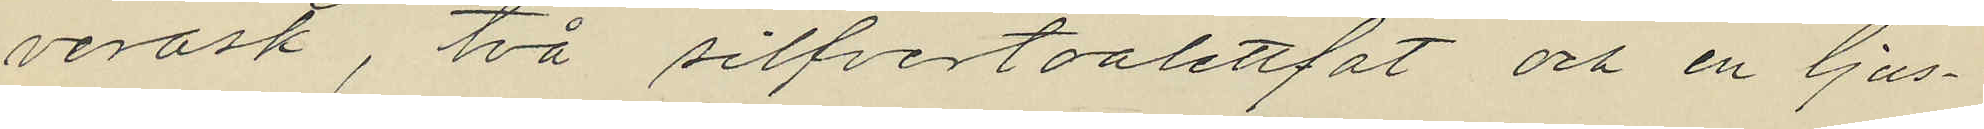verask, två silfvertoalettfat och en ljus¬
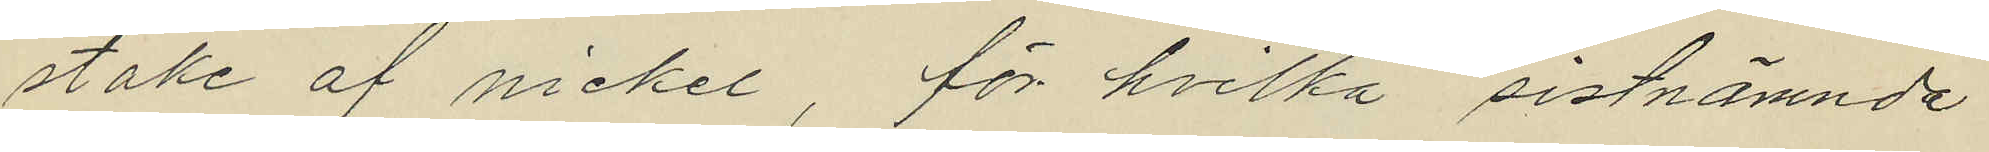stake af nickel för hvilka sistnämnde
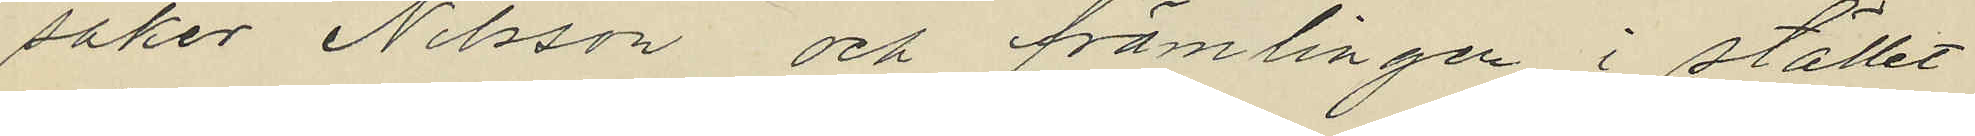saker Nilsson och främlingen i stället
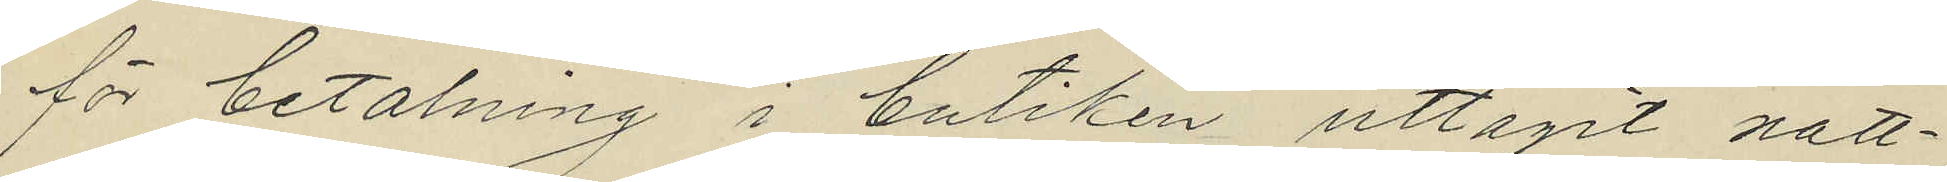för betalning i butiken uttagit natt¬
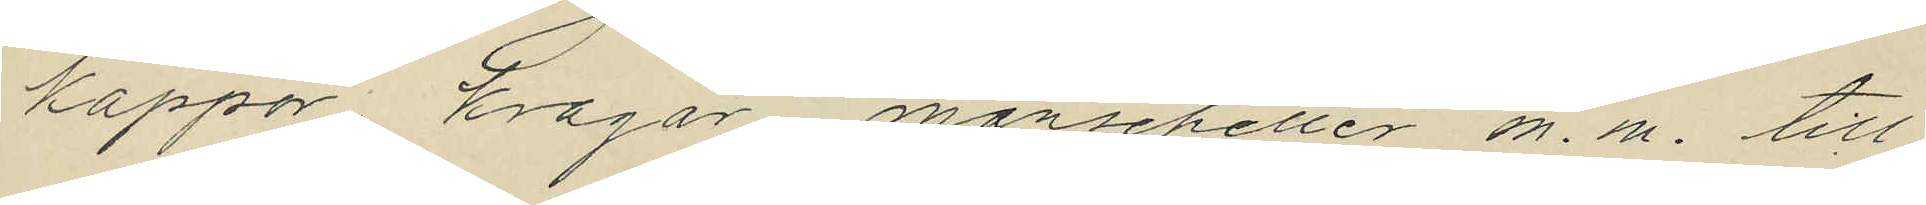kappor, kragar, manschetter m. m. till
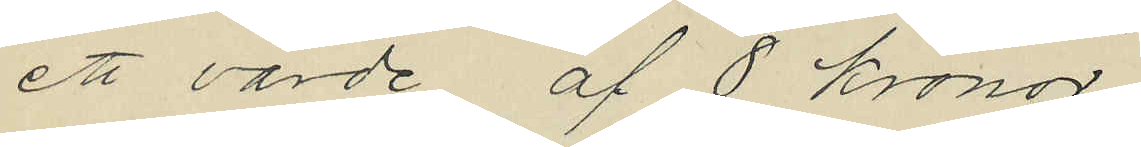ett värde af 8 kronor.
